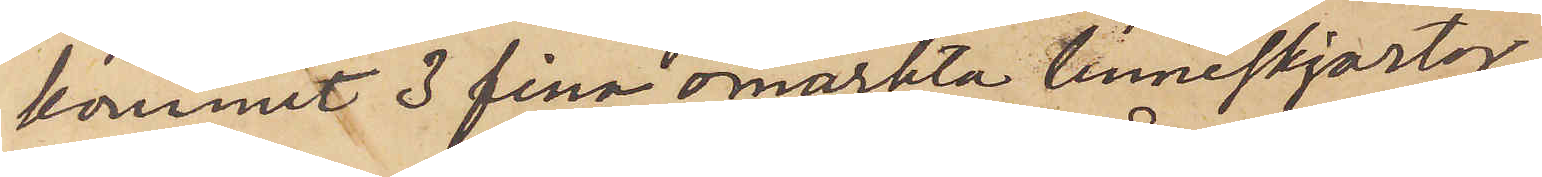kommit 3 fina omärkta linneskjortor,
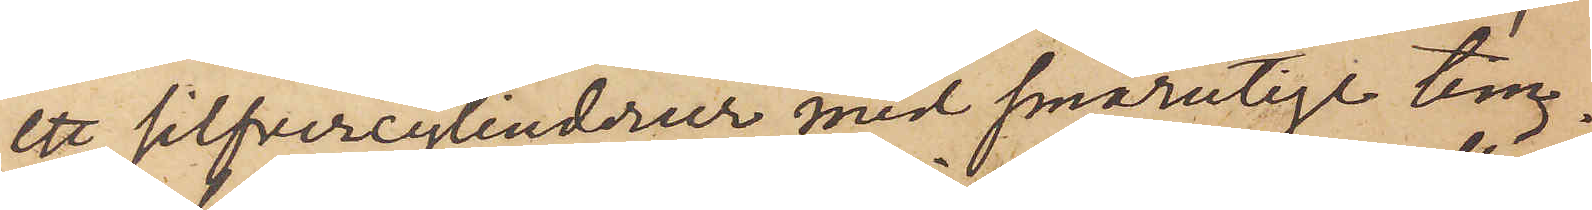ett silfvercylinderur med smårutige tim-
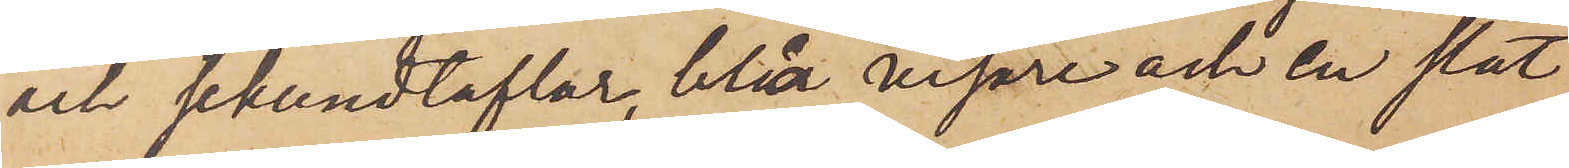och sekundtaflor, blåa visare och en slat
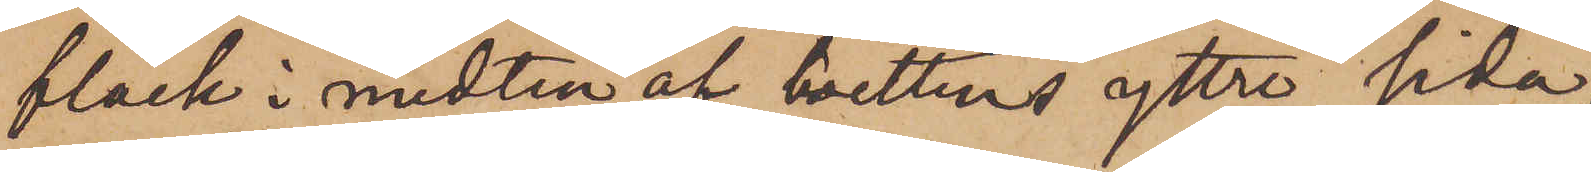fläck i midten af boettens yttre sida,
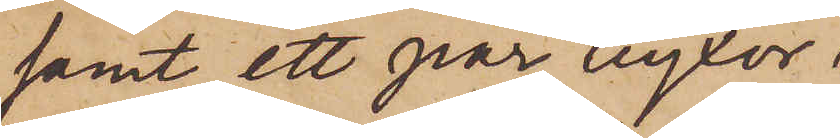samt ett par byxor
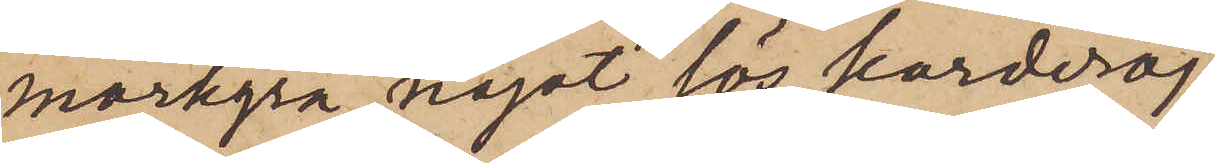mörkgrå, något lös korderoj
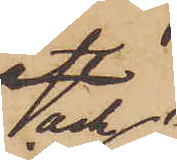och
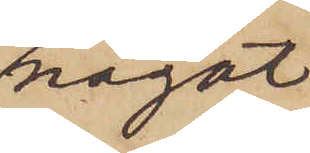något
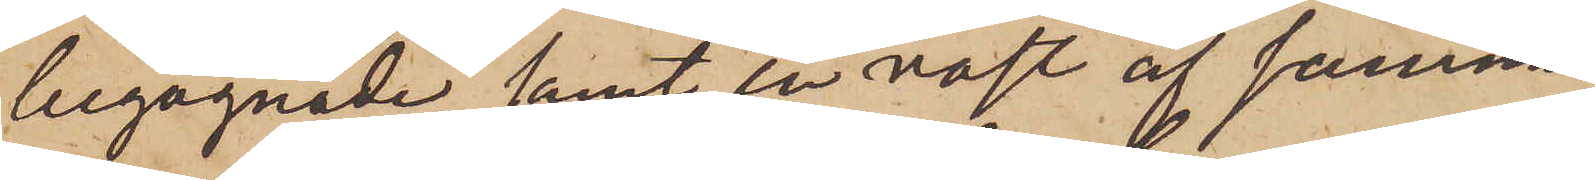begagnade samt en väst af samma
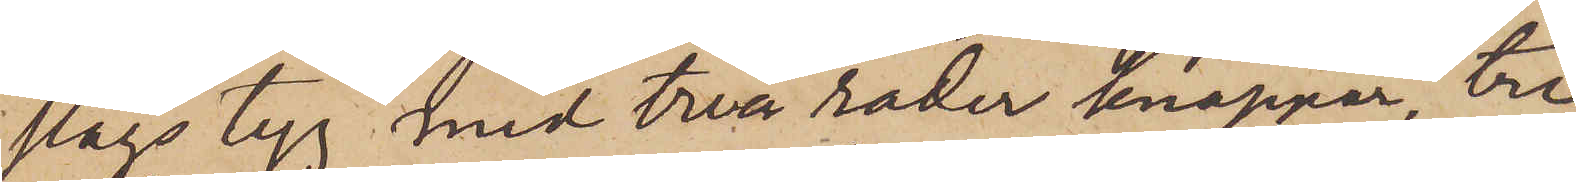slags tyg med två rader knappar, tre
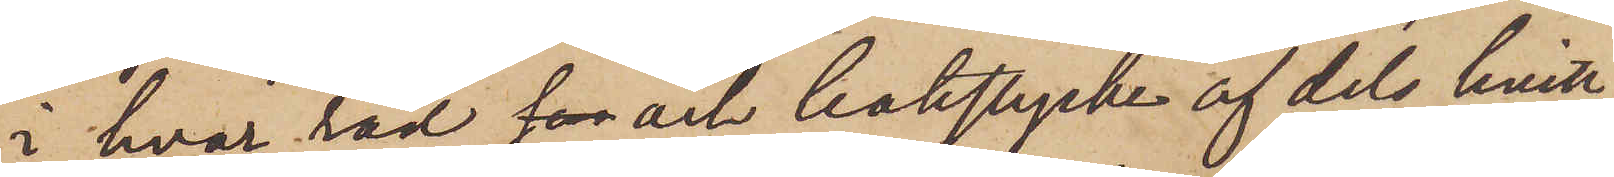i hvar rad för och bakstycke af dels hvitt
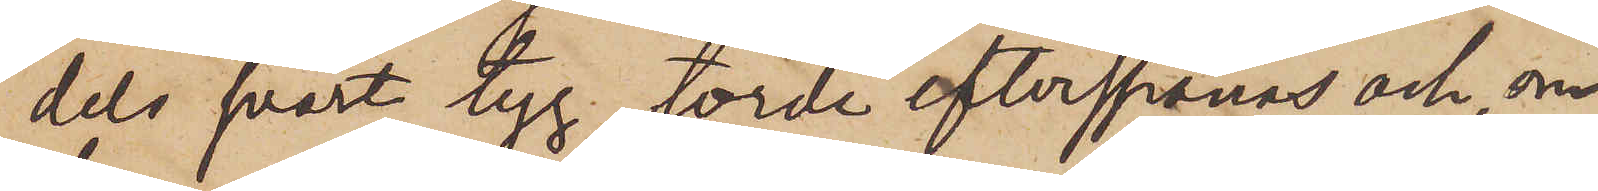dels svart tyg, torde efterspanas och, om
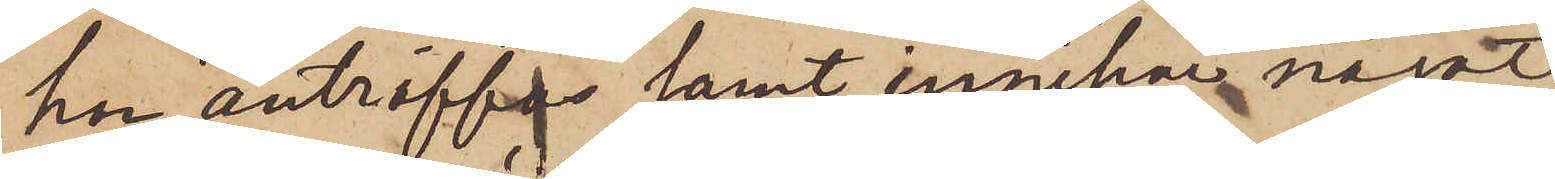han anträffas samt innehar något
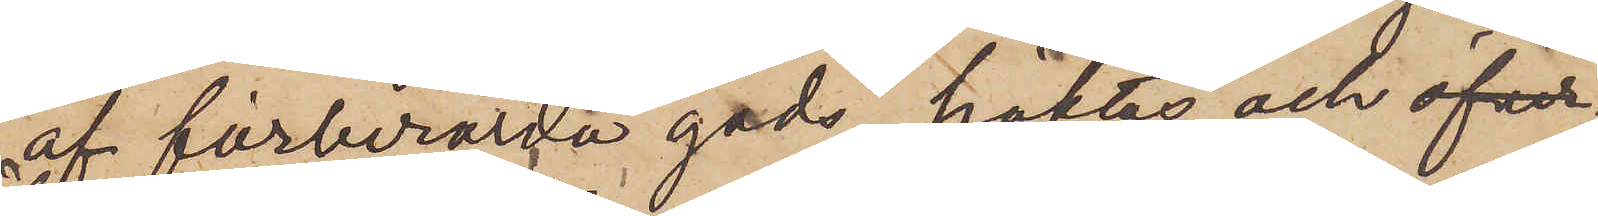af förberörda gods, häktas och öfver¬
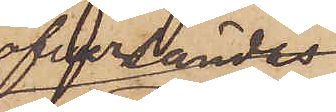öfversändes
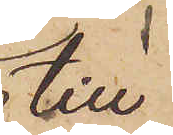till
